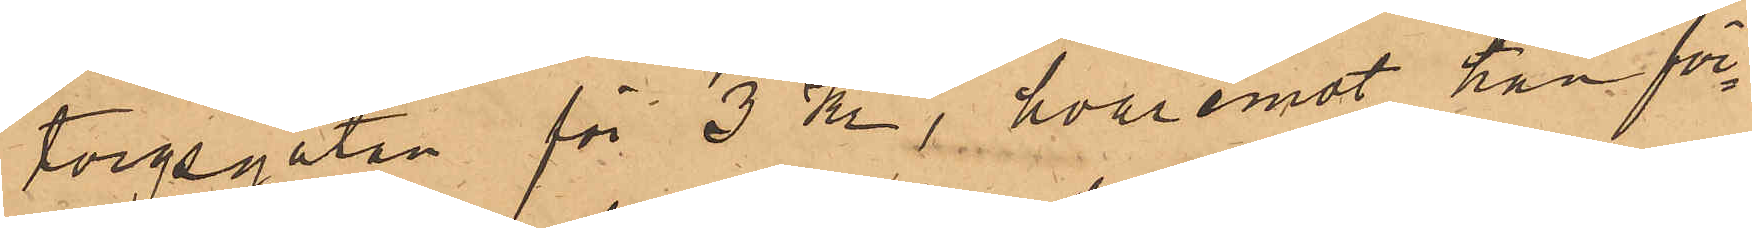torgsgatan för 3 Kr, hvaremot han för¬
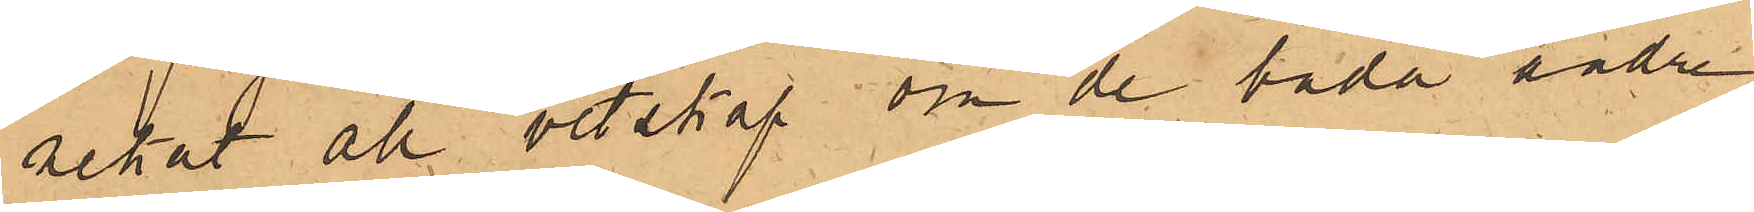nekat all vetskap om de båda andra
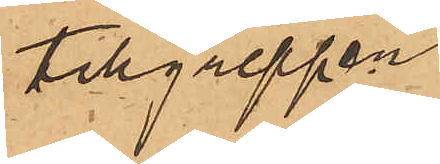tillgreppen.
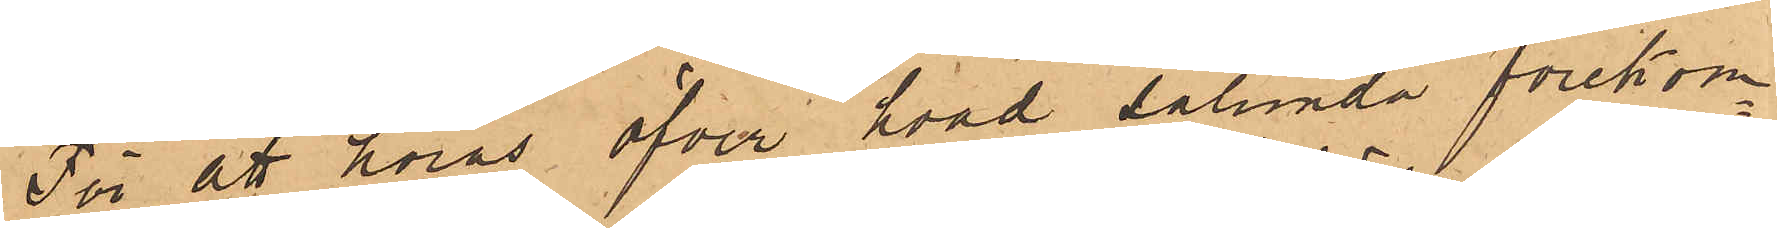För att höras öfver hvad sålunda förekom¬
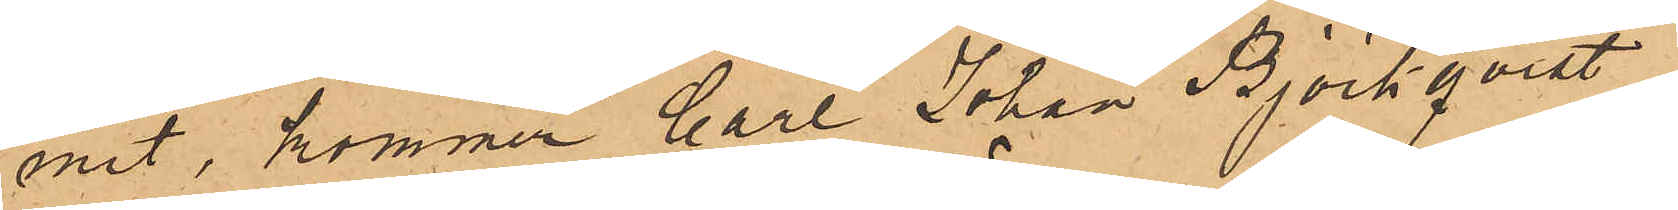mit, kommer Carl Johan Björkqvist,
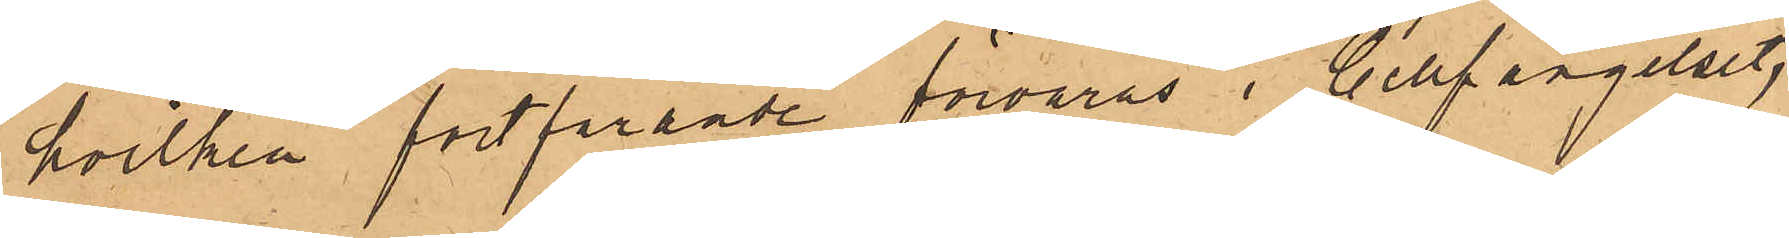hvilken fortfarande förvaras i Cellfängelset,
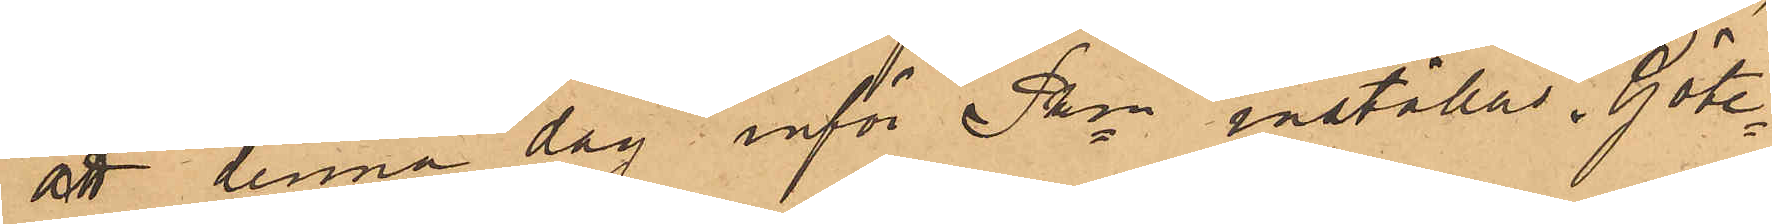att denna dag inför Pkn inställas. Göte¬
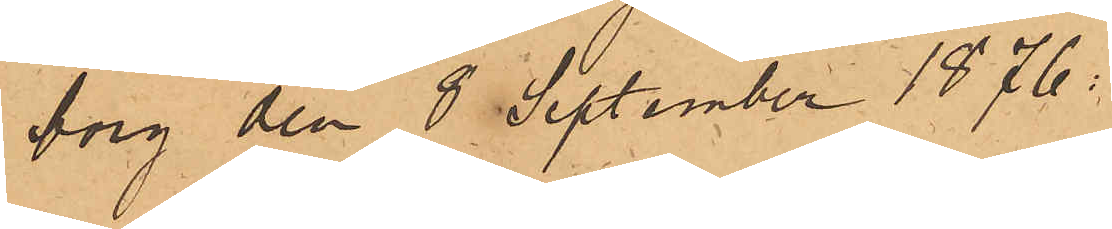borg den 8 September 1876.
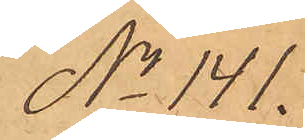No 141.
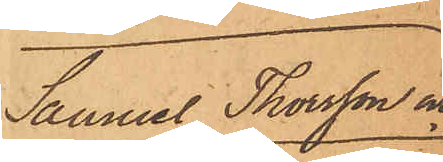Samuel Thorsson och
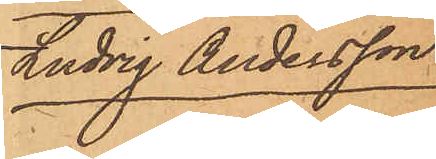Ludvig Andersson
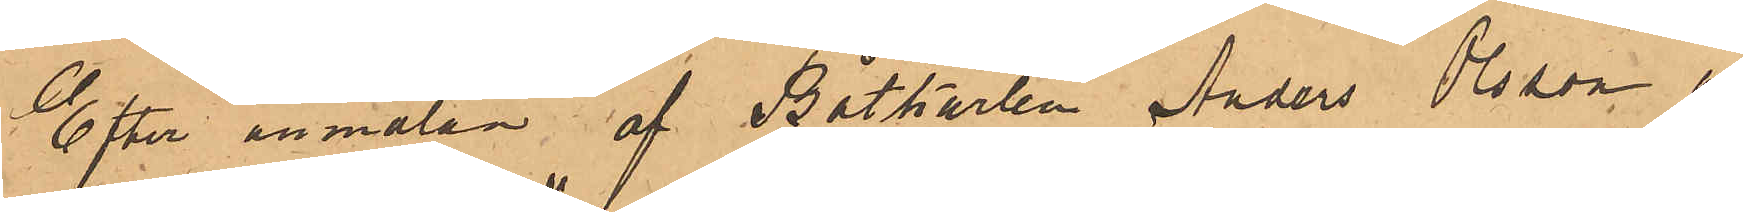Efter anmälan af Båtkarlen Anders Olsson an¬
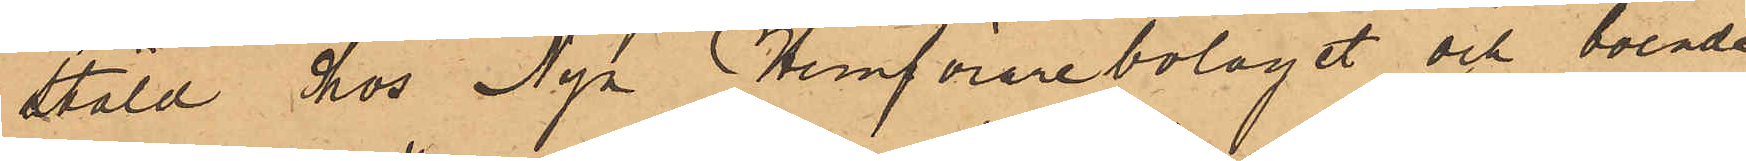stäld hos Nya Hemförarebolaget och boende
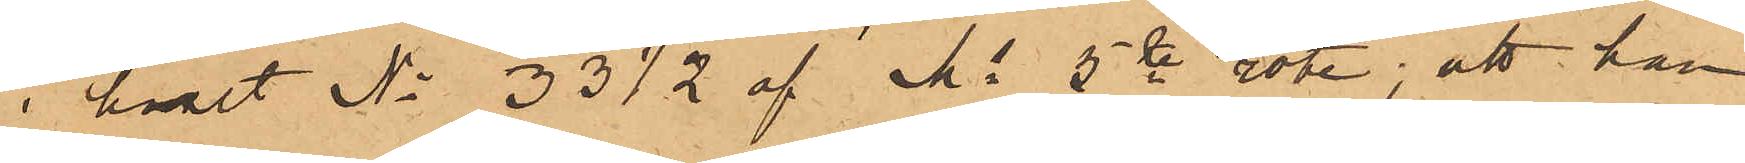i huset No 33½ af Ms 5te rote, att han
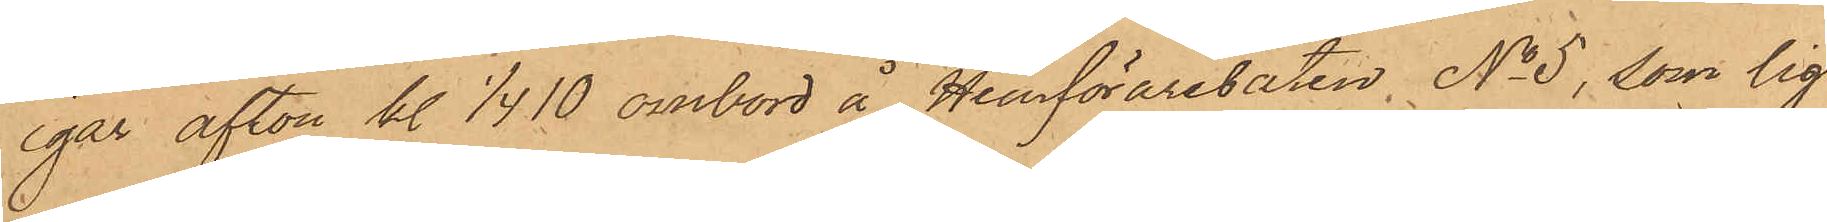igår afton kl 1/4 10 ombord å Hemförarebåten No 5, som lig¬
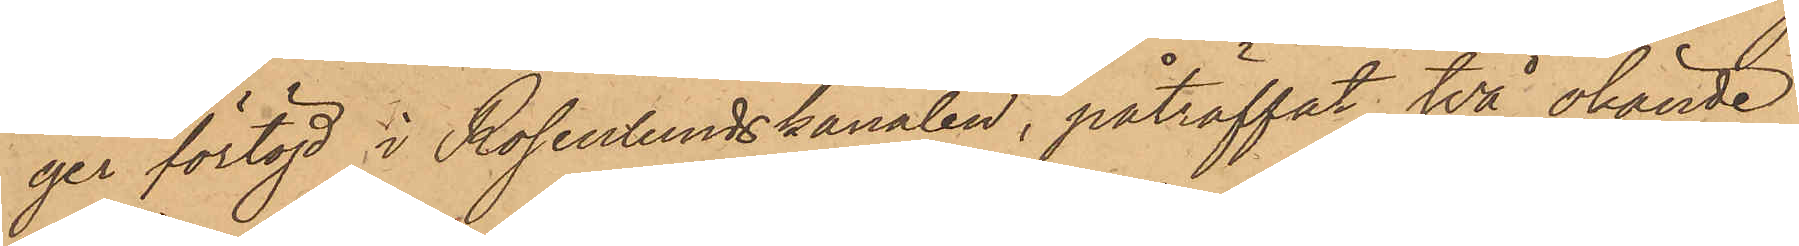ger förtöjd i Rosenlundskanalen, påträffat två okände
